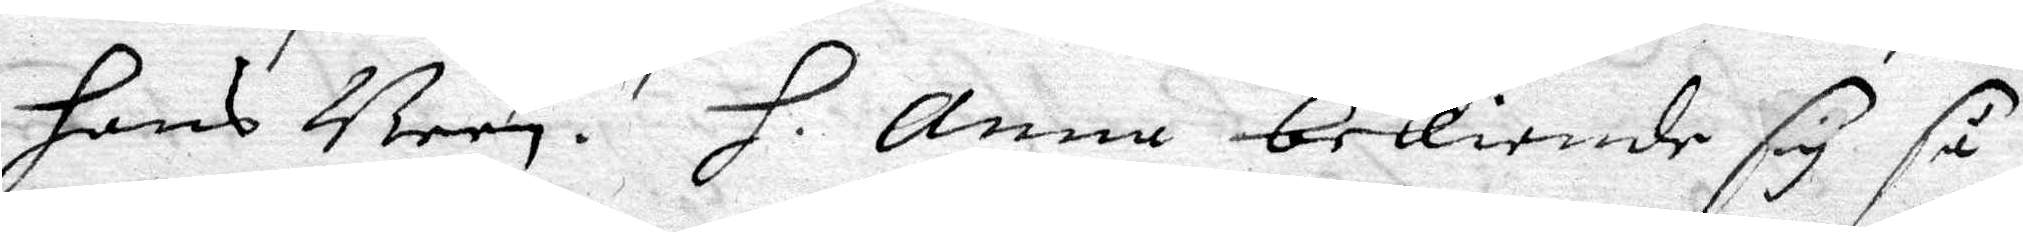hans Been. H. Anna bekiende sig så 
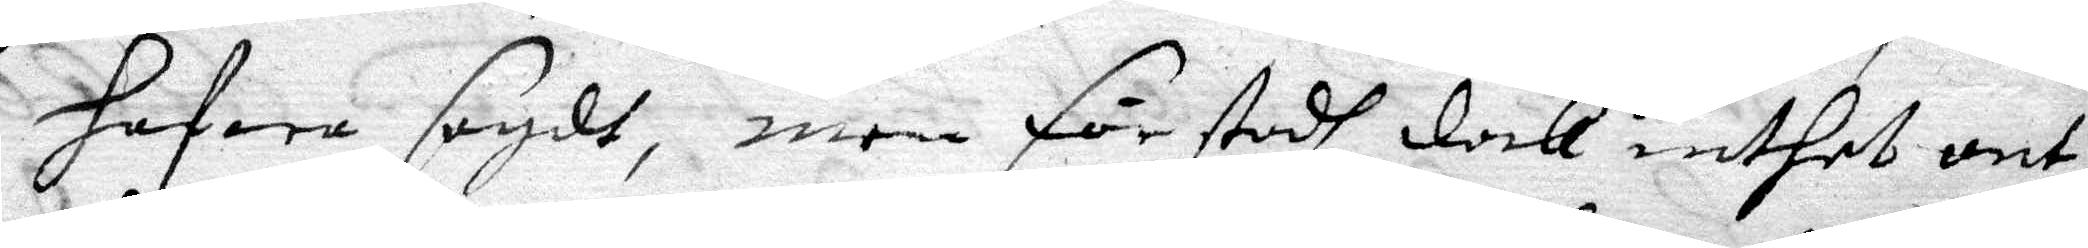hafwa sagdt, men förstodh dock inthet ont
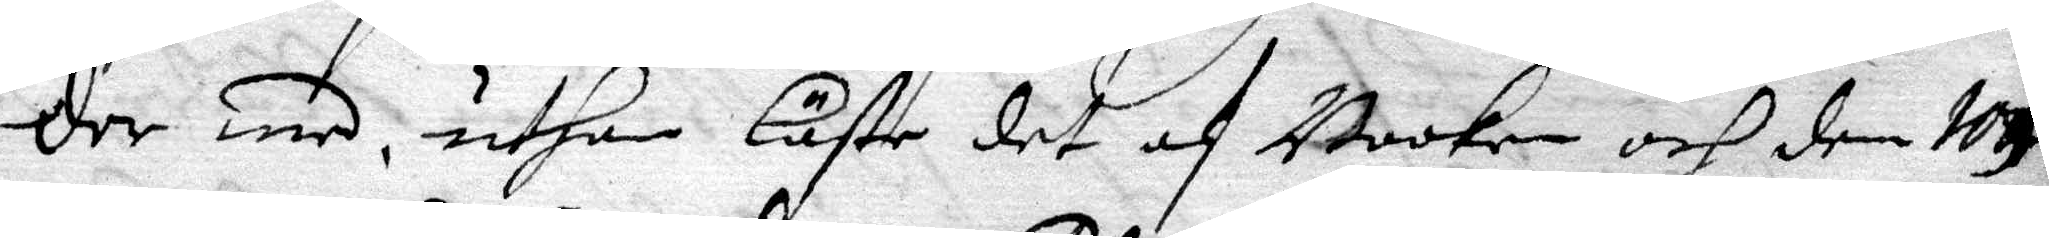der med, uthan Läste det af Booken och den 109de
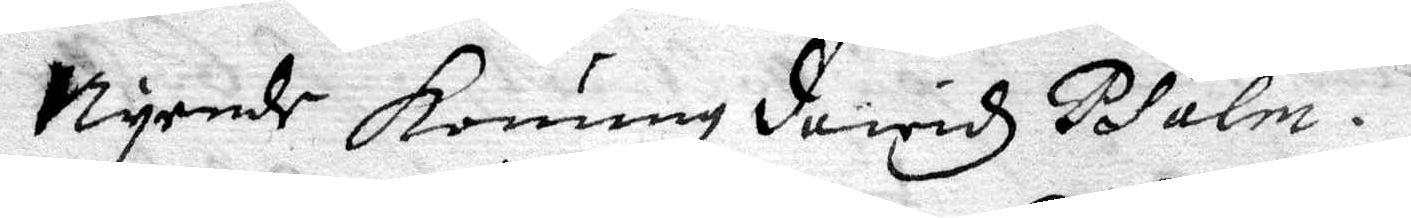Nyende Konung dawidz Psalm.
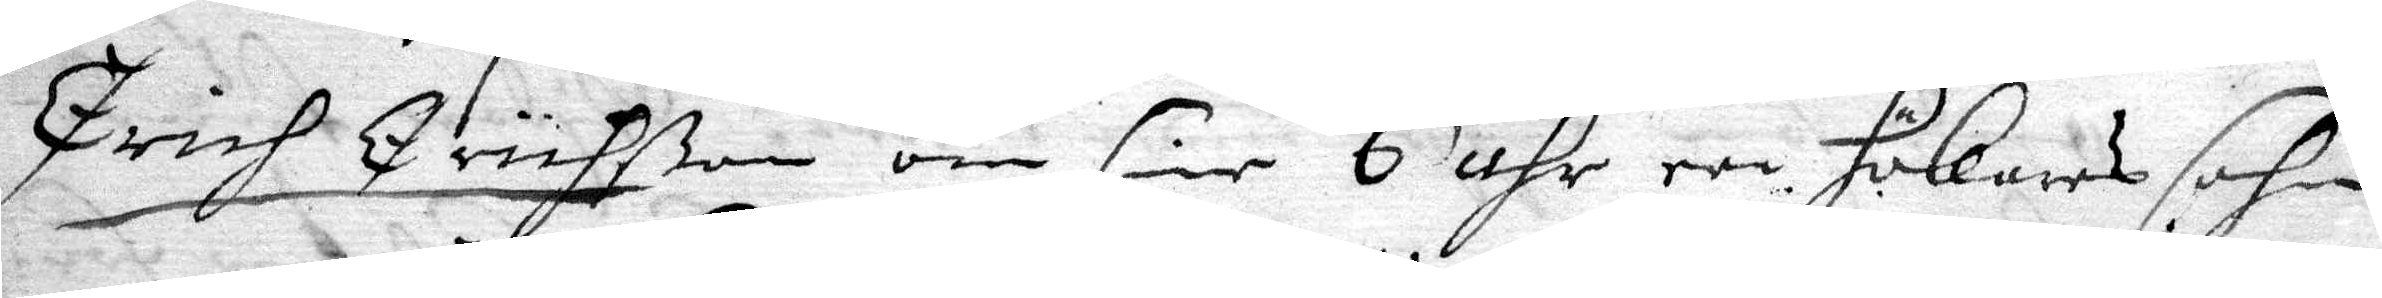Erich Erichßon om sine 6 åhr een Hökares sohn
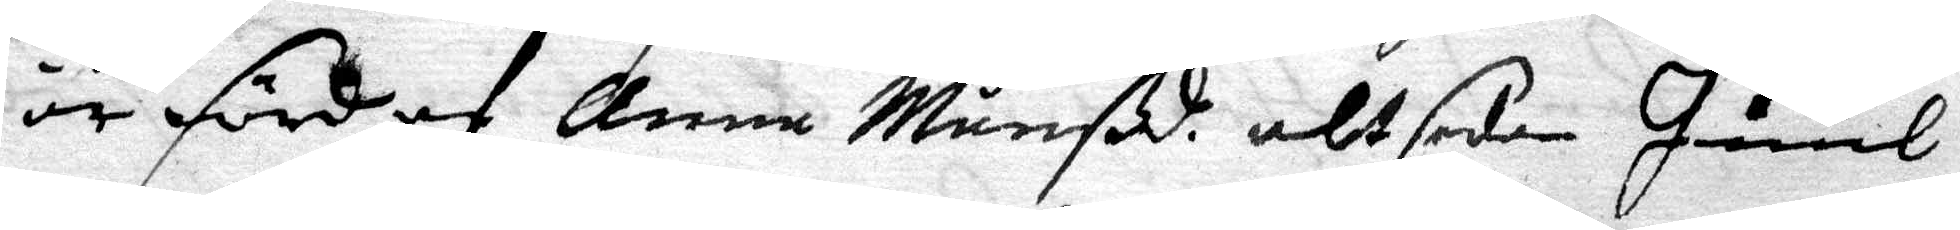är förd af Anna Månßd alt sedan Juul
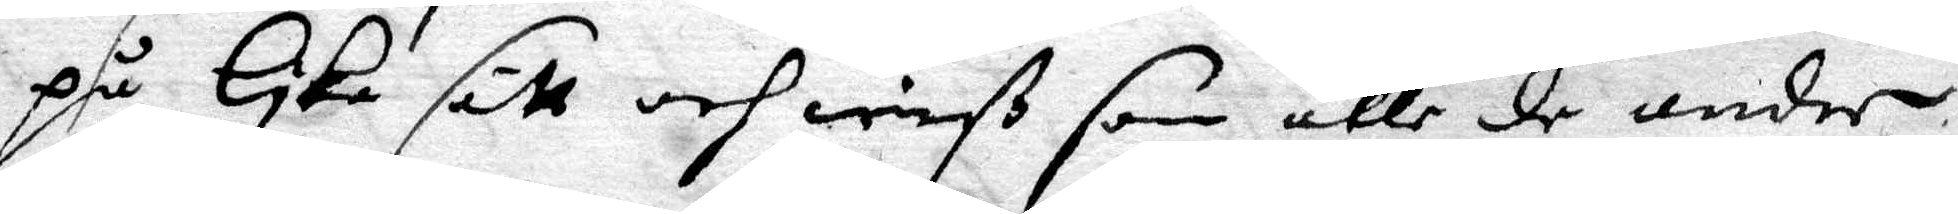på lyka sätt och wiß som alle de andre
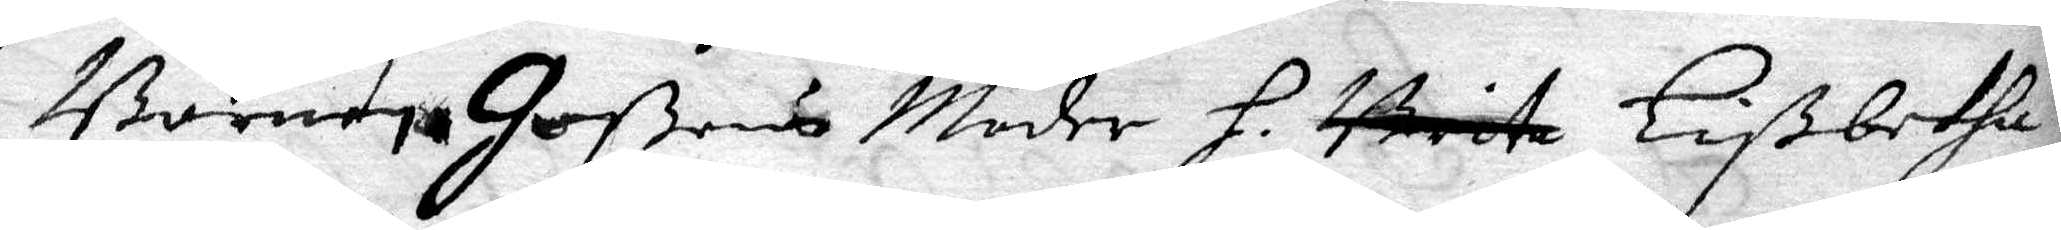Barnen Goßens Moder H Brita Lißbetha 
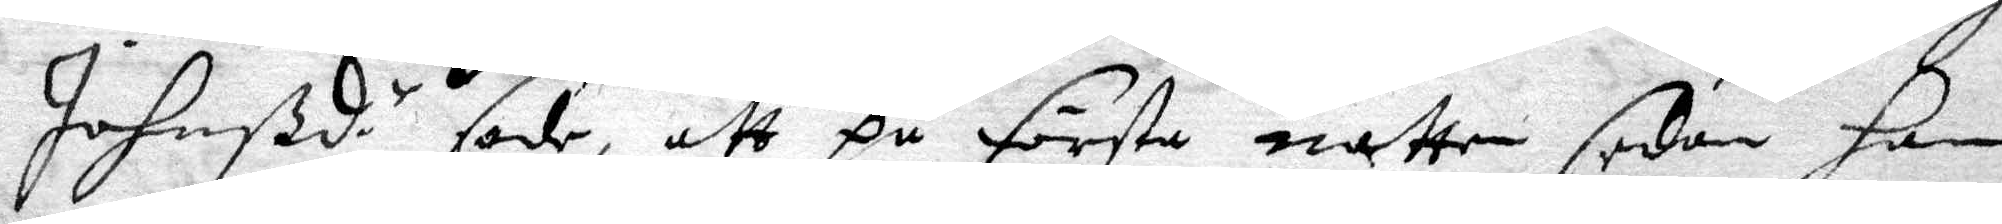Johnßd.r sade, att på första natten sedan han 
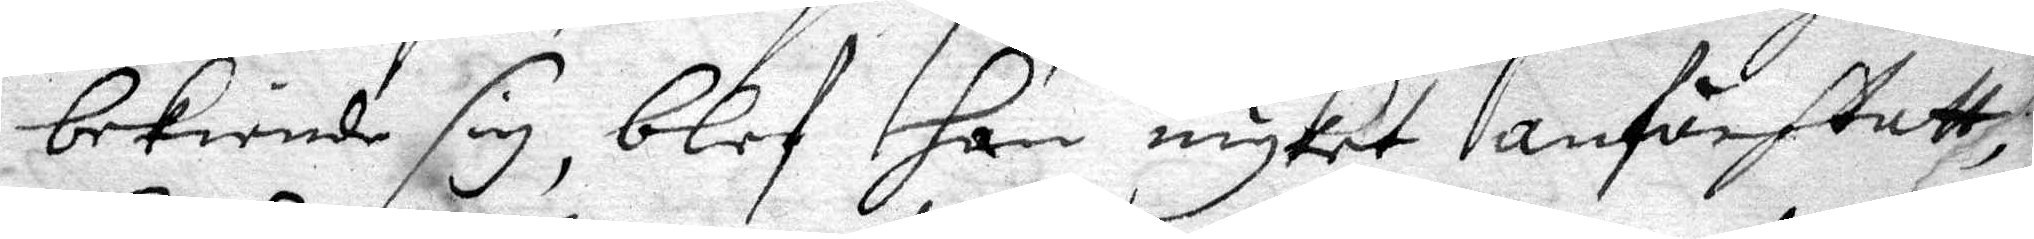bekiende sig, blef han myket anfächtatt,
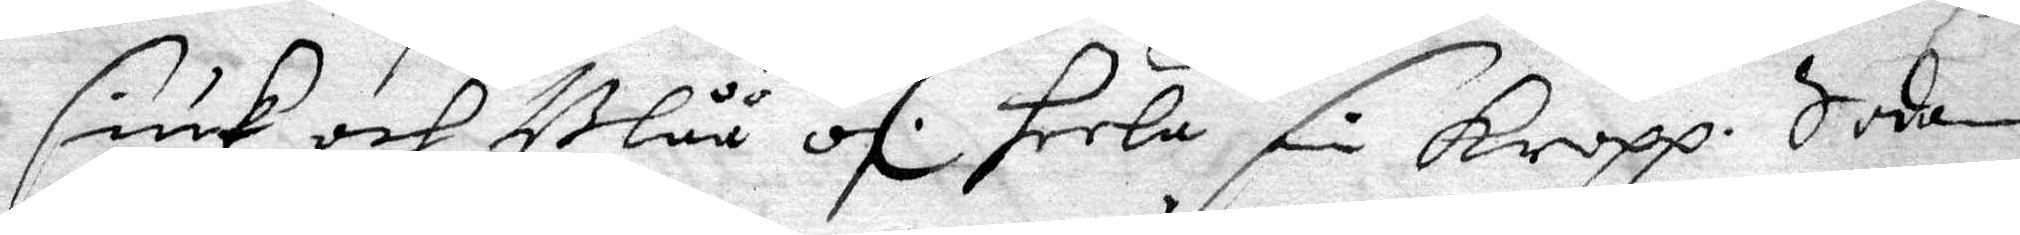siuk och Blåå öf heela sin Kropp. Sedan 
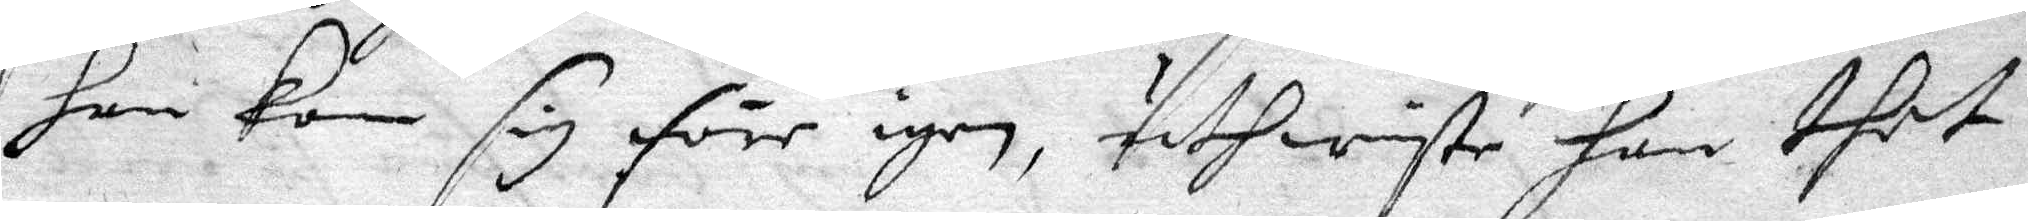han kom sig före igen, uthwiste han thet
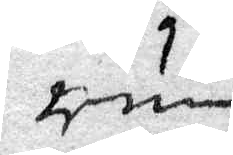rum
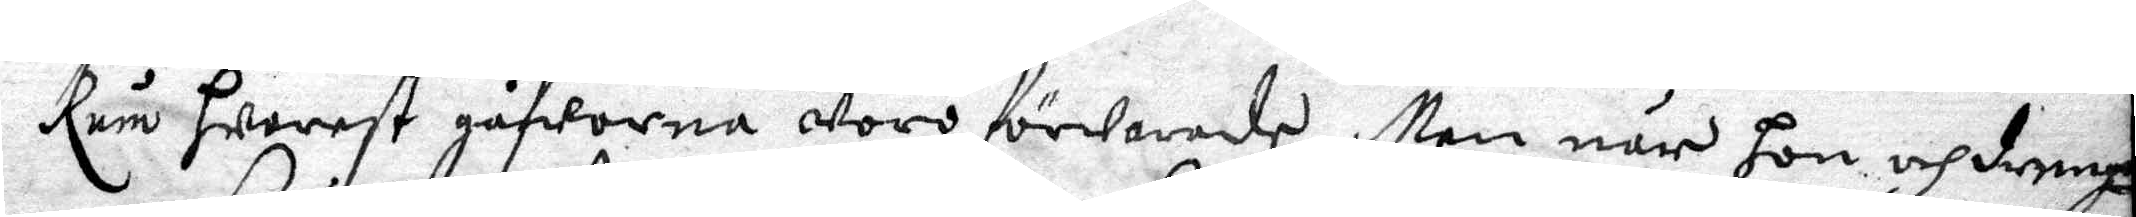Rum hwarest gåfworna woro förwarade Men när hon och dreng¬
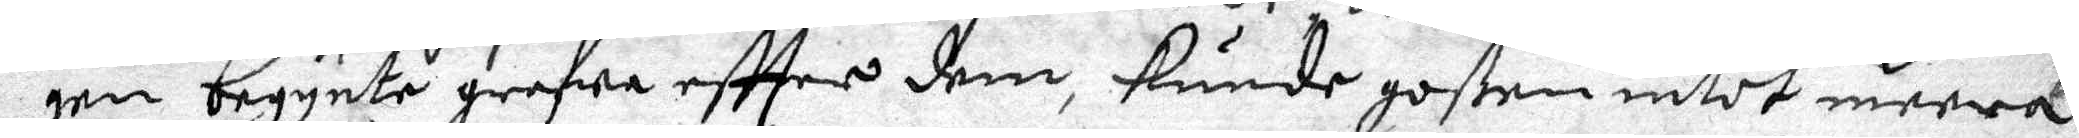gen begynte grefwa eftter dem, kunde goßen intet meera
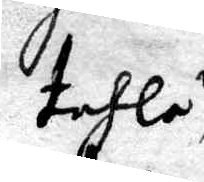tahla 
